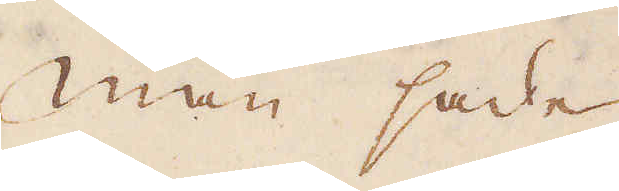Man sade
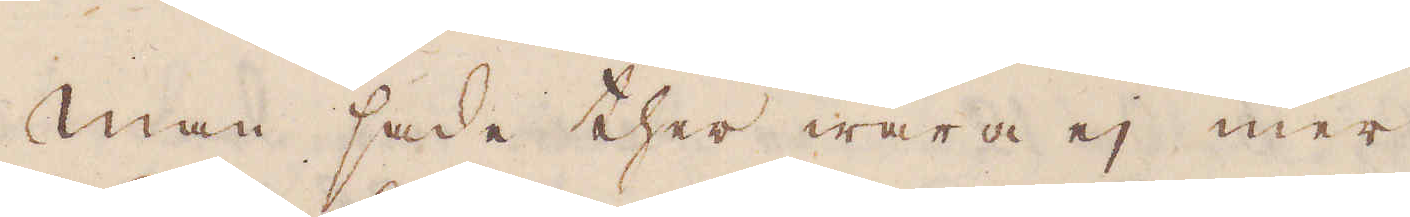Man sade ther wara ej mer
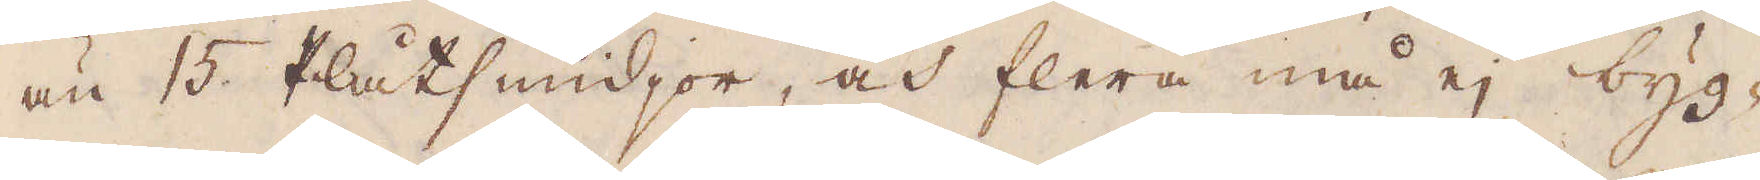än 15 Plåtsmidjor, och flera må ej byg-
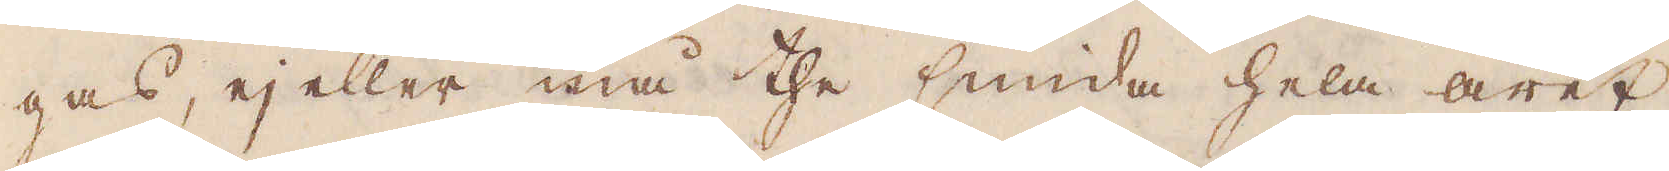gas, ej eller må the smida hela året
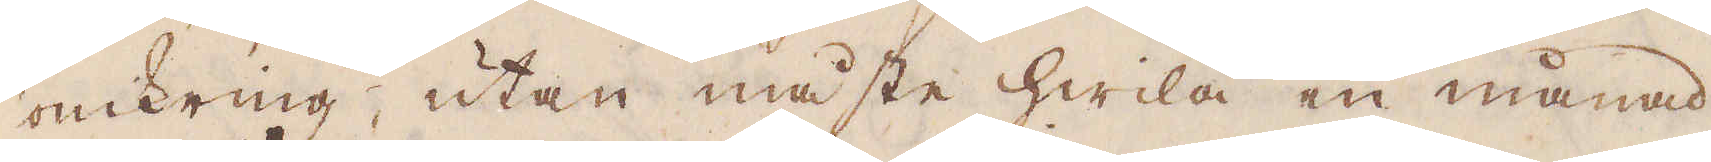omkring, utan måste hwila en månad
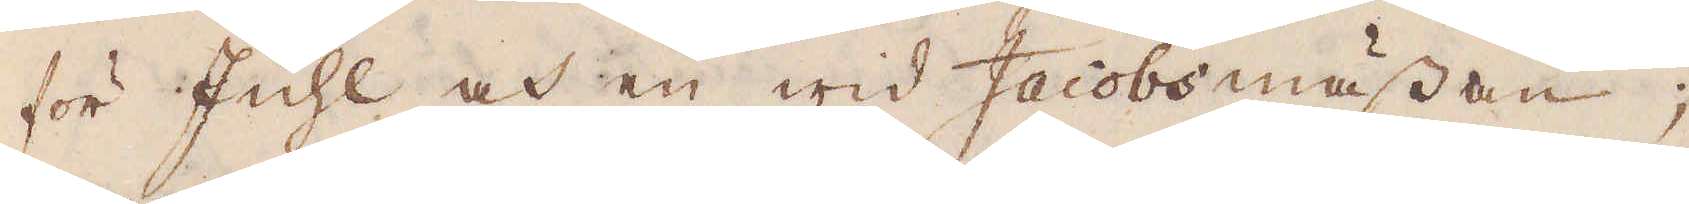för Juhl och en wid Jacobs mässan;
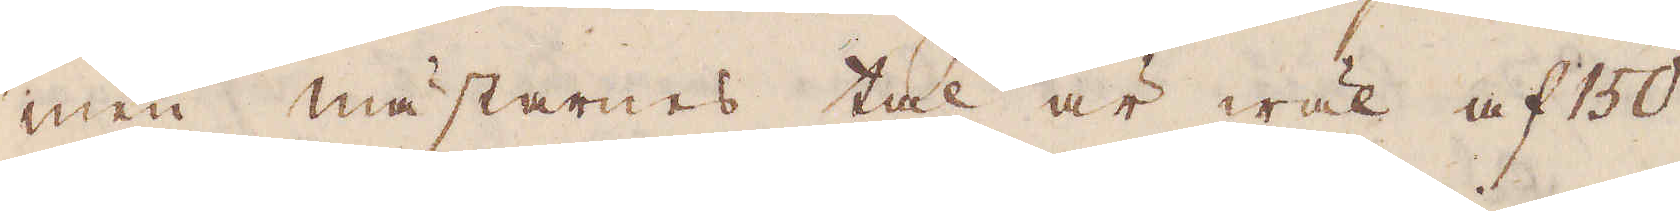men mästarnes tal är wäl af 150
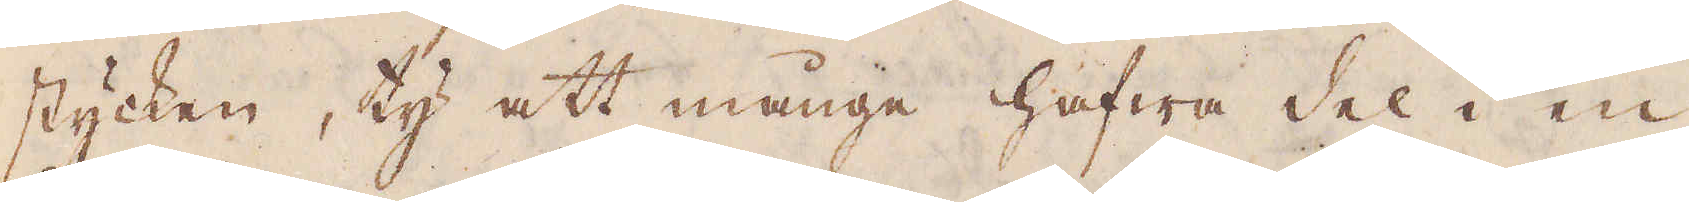stycken, ty att månge hafwa del i en
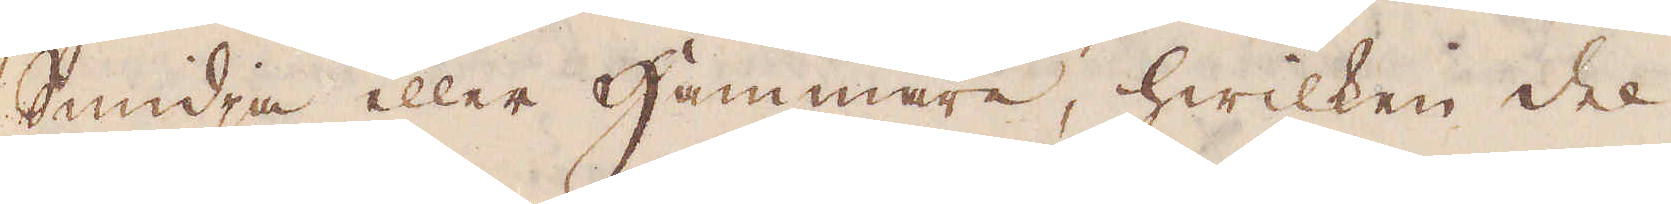Smidja eller Hammare, hwilken del
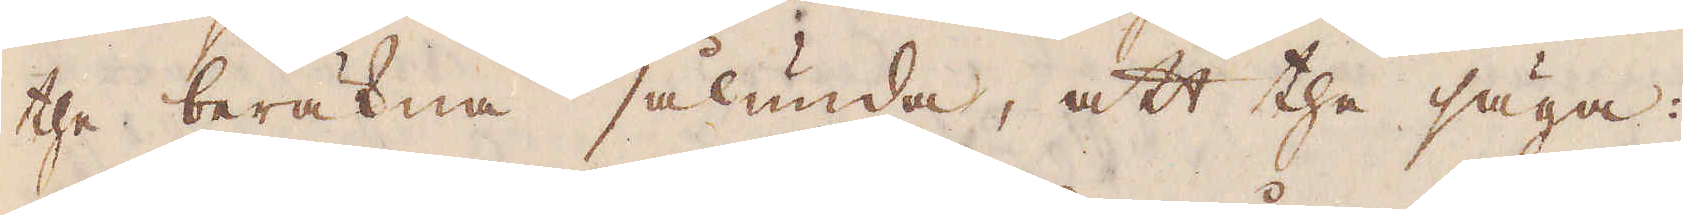the beräkna sålunda, att the säga:
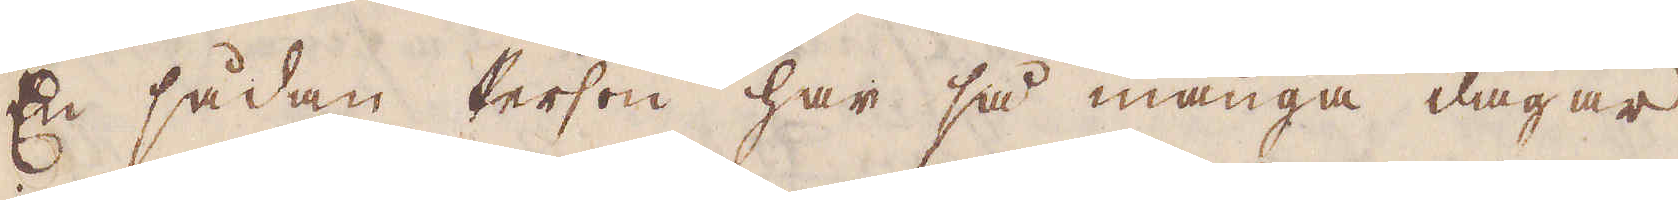En sådan Person har så många dagar,
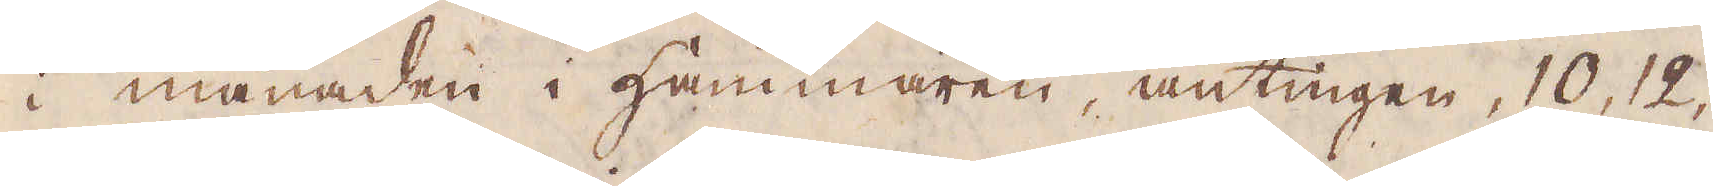i månaden i Hammaren, antingen, 10, 12,
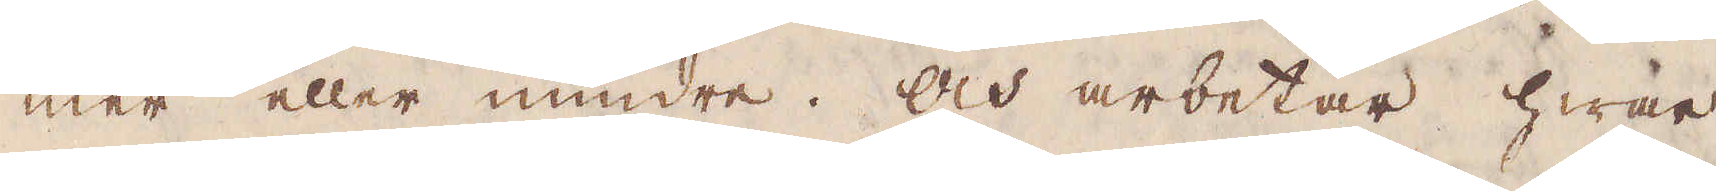mer eller mindre. Och arbetar hwar
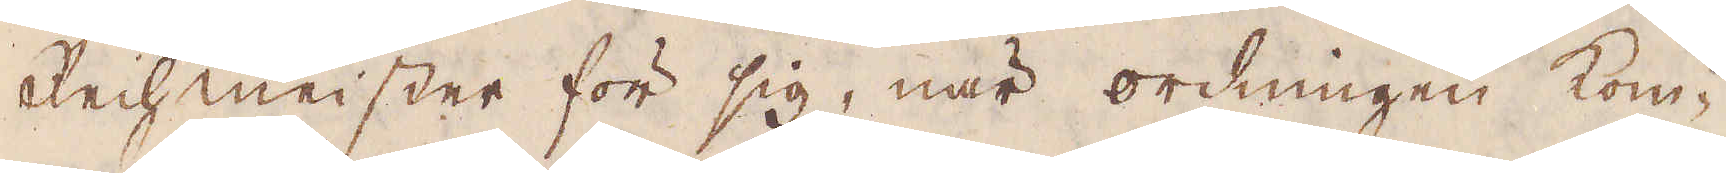Reihmeister för sig, när ordningen kom-
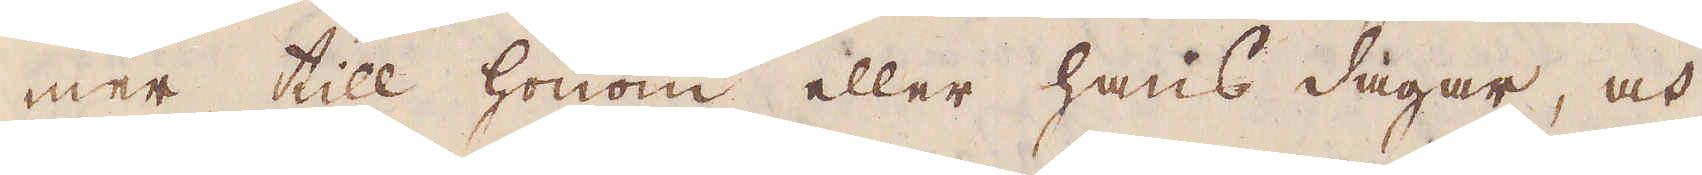mer till honom eller hans dagar, och
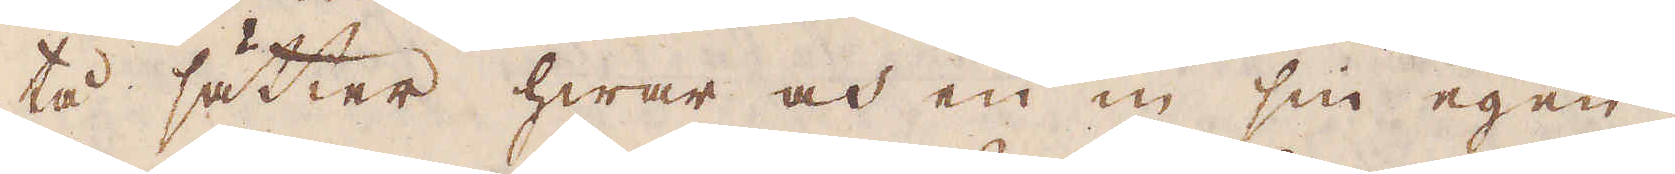tå sätter hwar och en en sin egen
